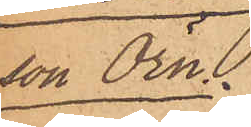son Örn.
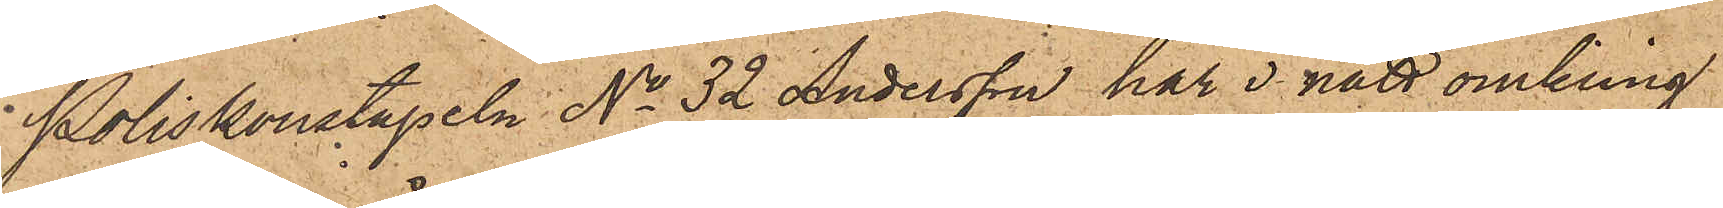Poliskonstapeln No 32 Andersson har i natt omkring
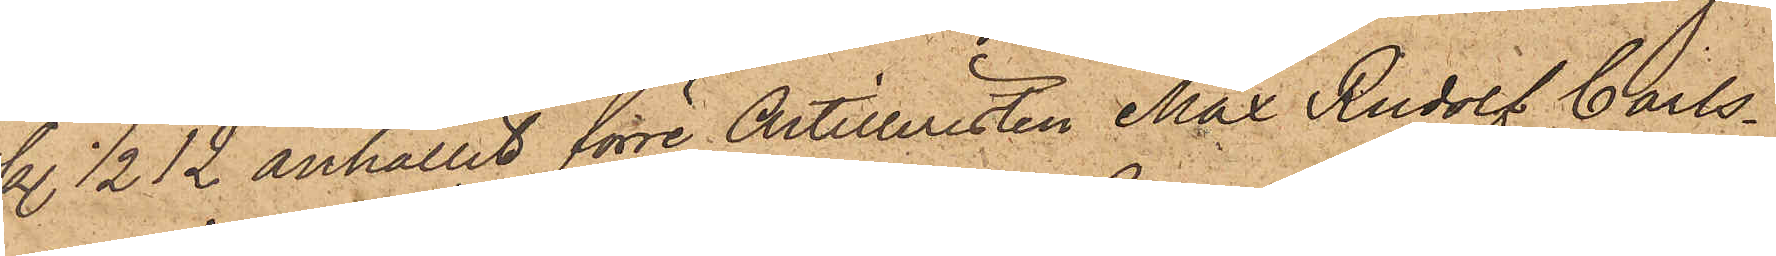kl. 1/2 12 anhållit förre Artilleristen Max Rudolf Carls¬
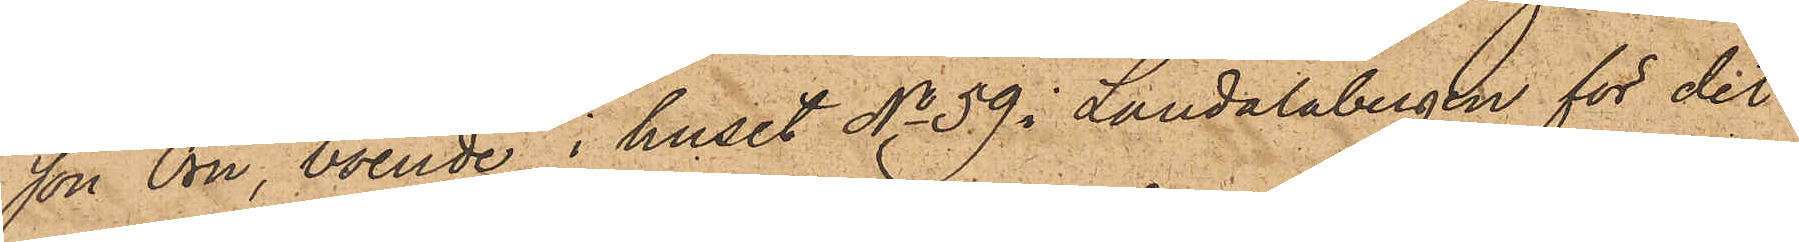son Örn, boende i huset No 59 i Landalabergen för det
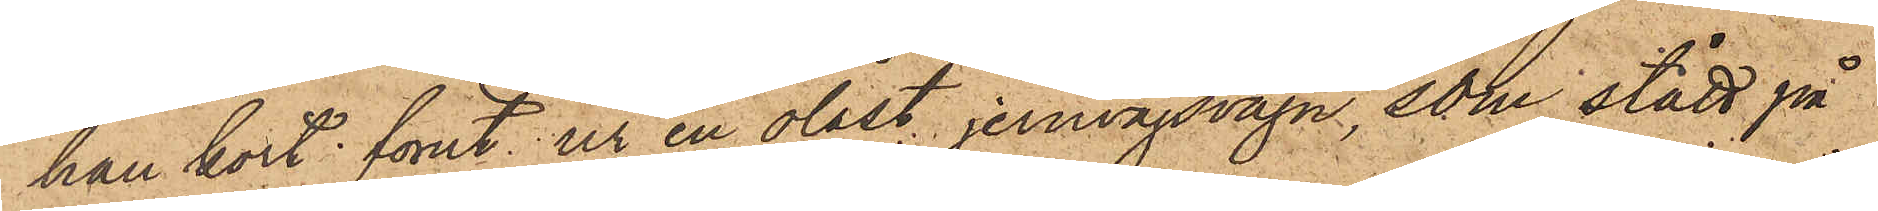han kort förut ur en olåst jernvägsvagn, som stått på
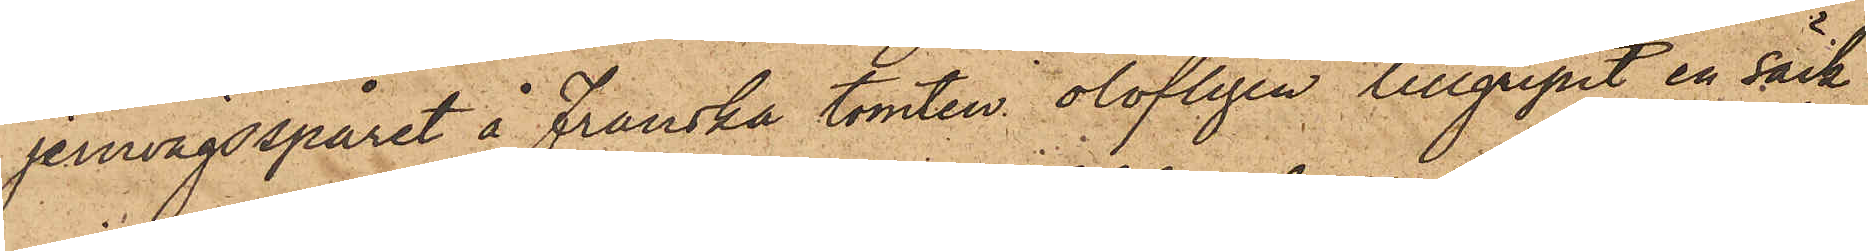jernvägsspåret å Franska tomten olofligen tillgripit en säck,
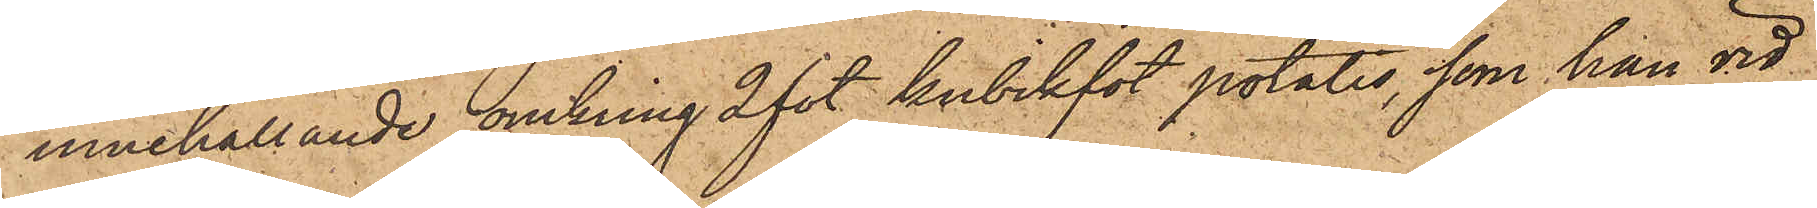innehållande omkring 2 fot kubikfot potatis, som han vid
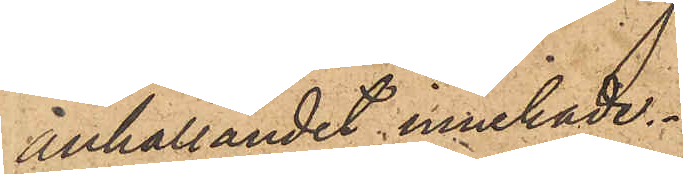anhållandet innehade.
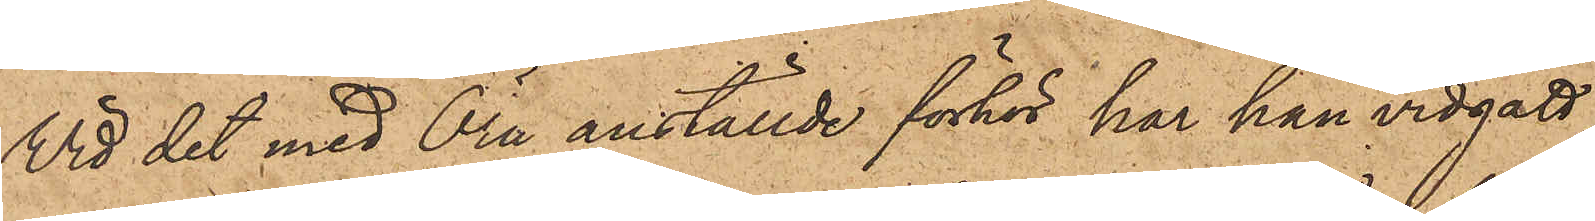Vid det med Örn anställde förhör har han vidgått,
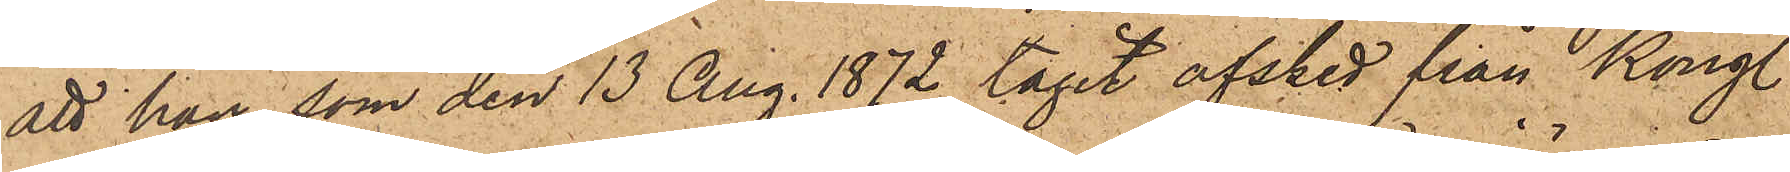att han, som den 13 Aug. 1872 tagit afsked från Kongl.
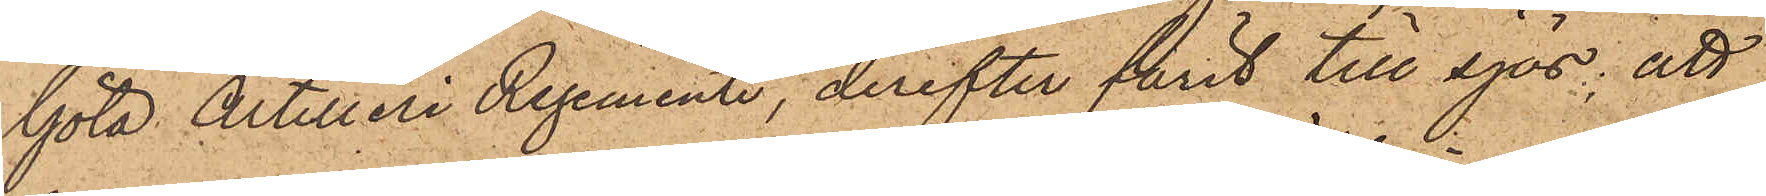Göta Artilleri Regemente, derefter farit till sjös; att
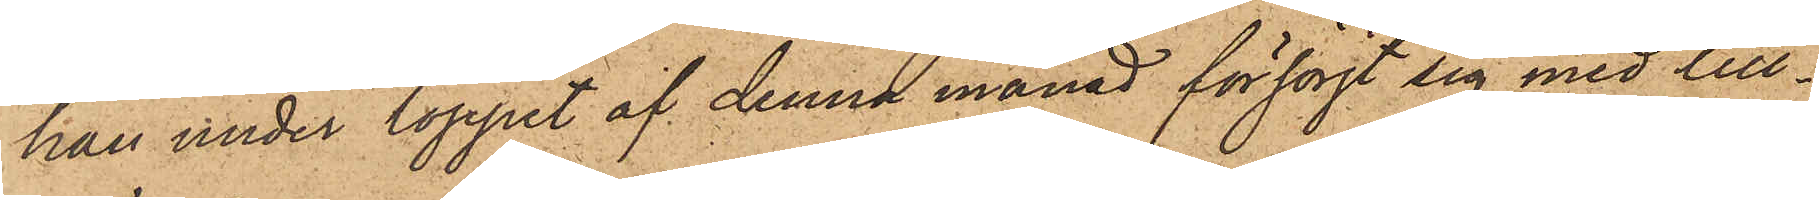han under loppet af denna månad försörjt sig med till¬
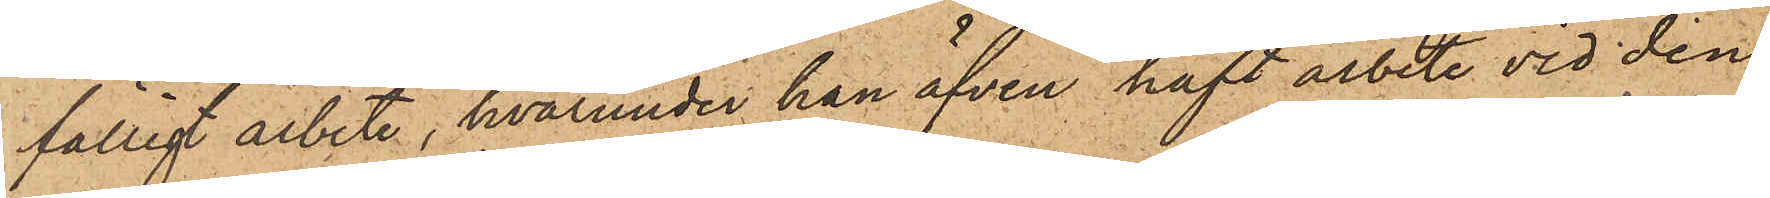fälligt arbete, hvarunder han äfven haft arbete vid den
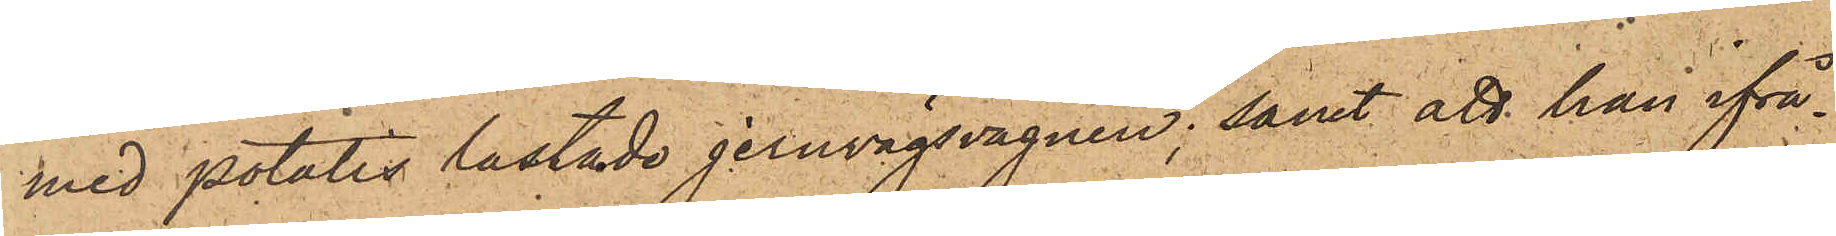med potatis lastade jernvägsvagnen; samt att han ifrå¬
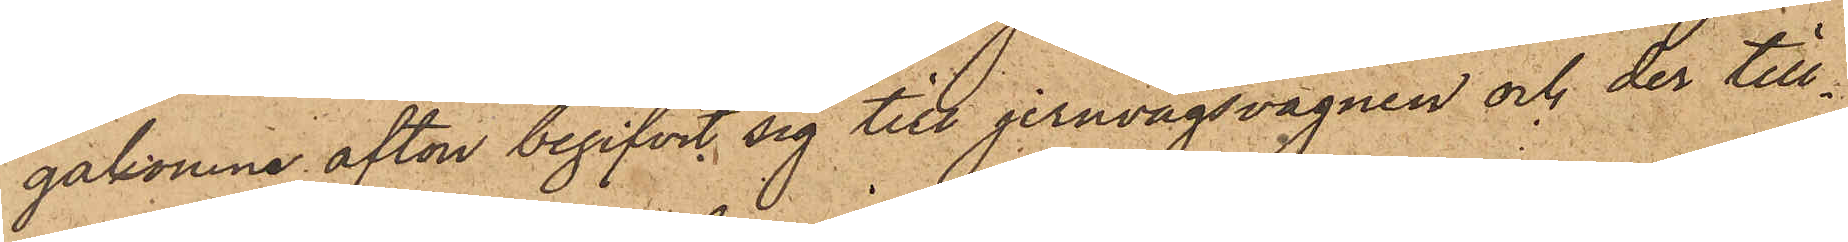gakomne afton begifvit sig till jernvägsvagnen och der till¬
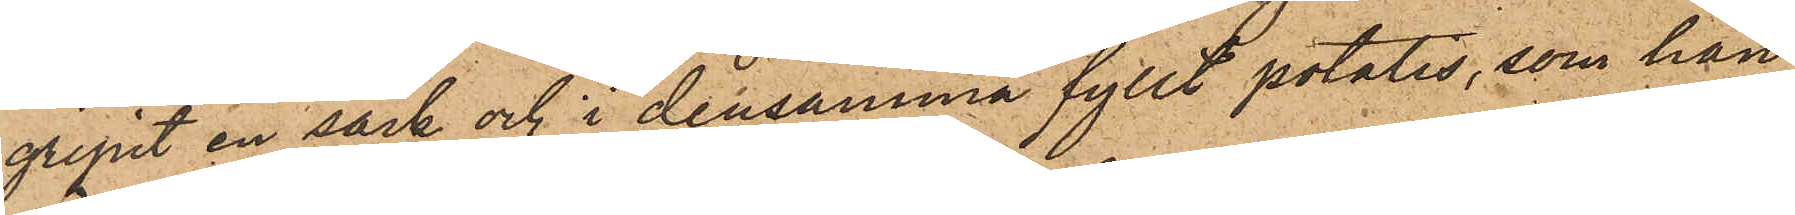gripit en säck och i densamma fyllt potatis, som han
